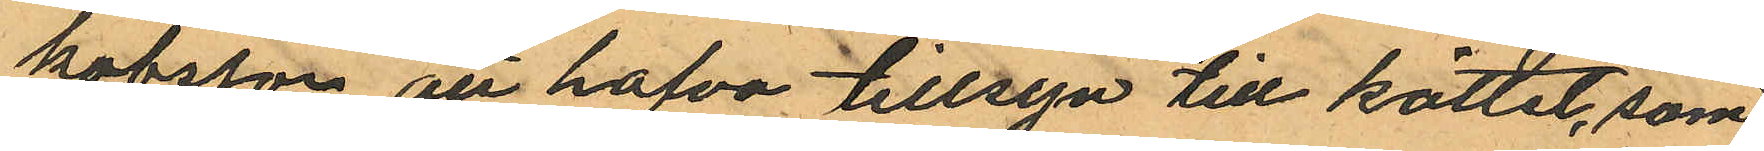kobsson att hafva tillsyn till köttet, som
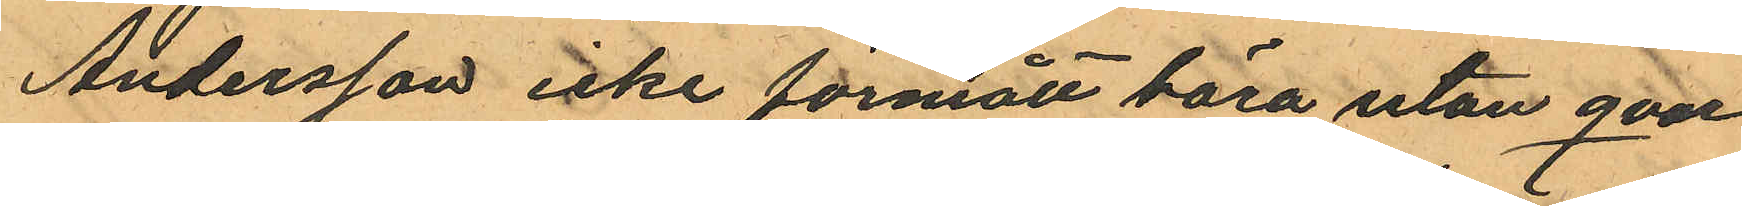Andersson icke förmått bära utan qvar
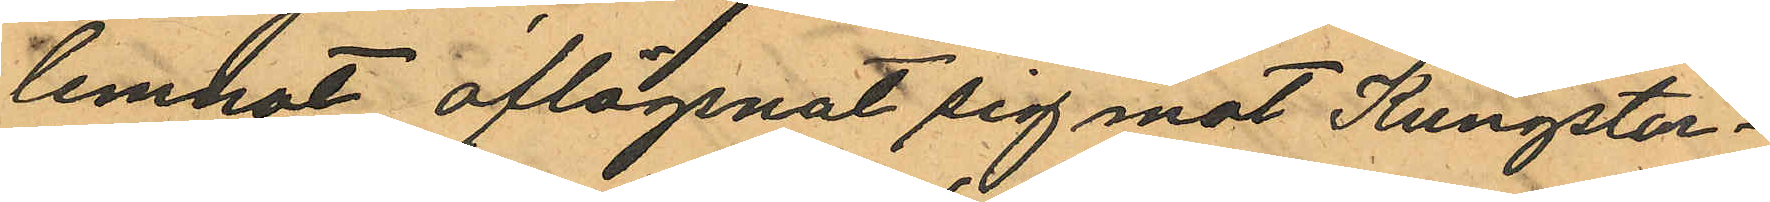lemnat aflägsnat sig mot Kungstor¬
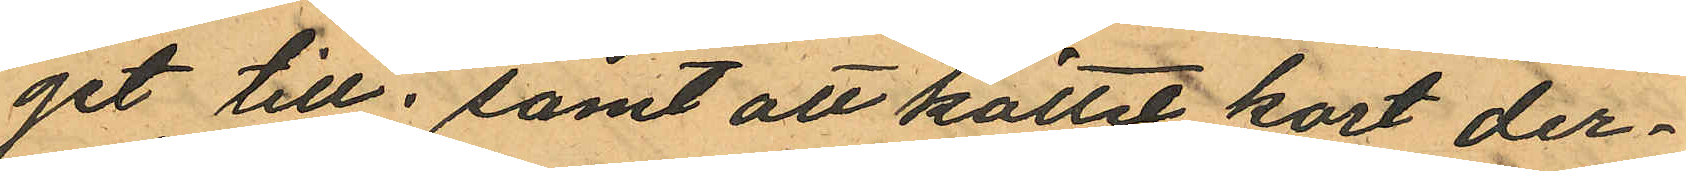get till; samt att köttet kort der¬
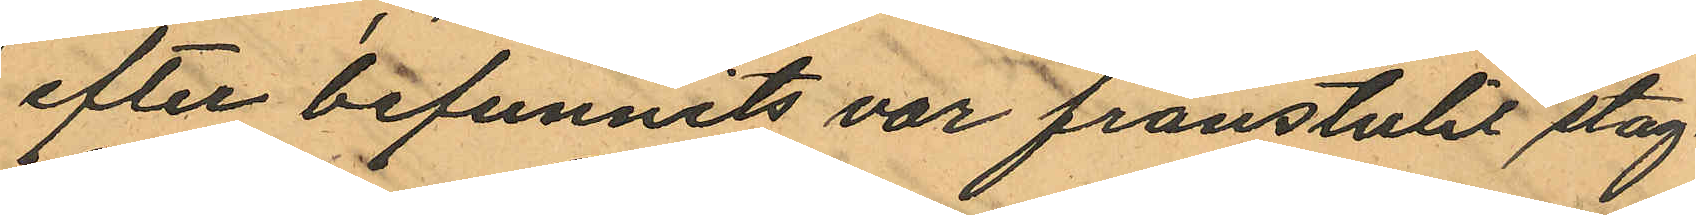efter befunnits var frånstulit slag¬
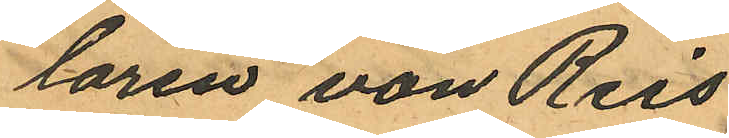taren von Reis
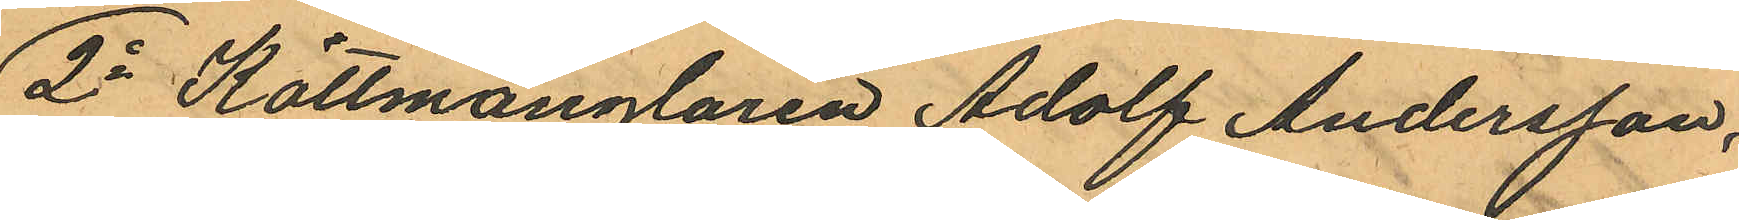2o Köttmånglaren Adolf Andersson,
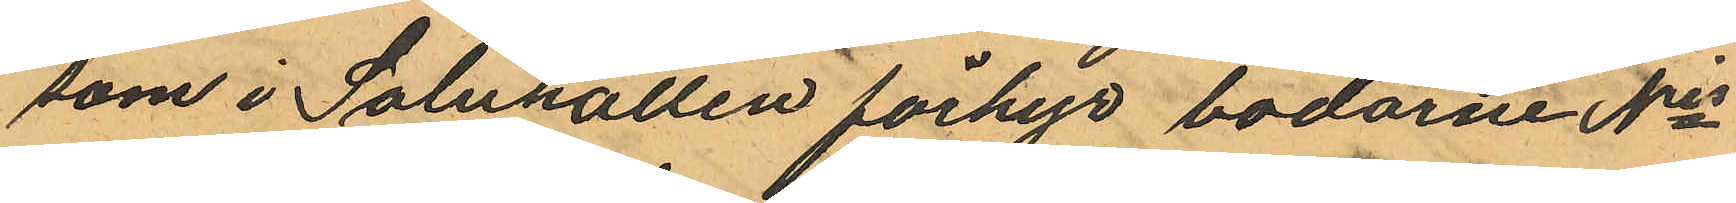som i Saluhallen förhyr bodarne Nris
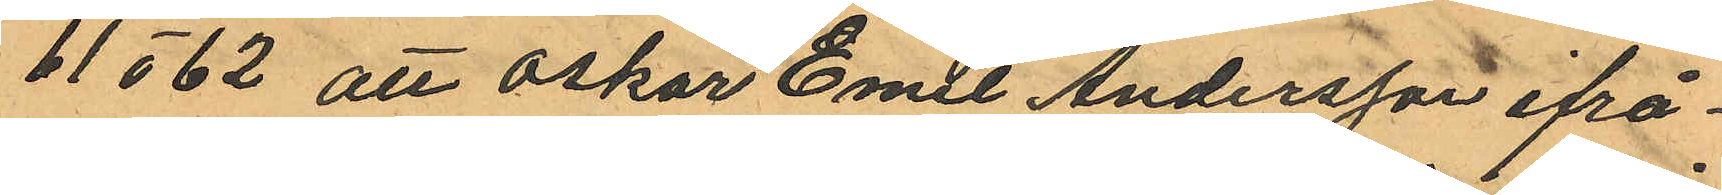61 o 62 att Oskar Emil Andersson ifrå¬
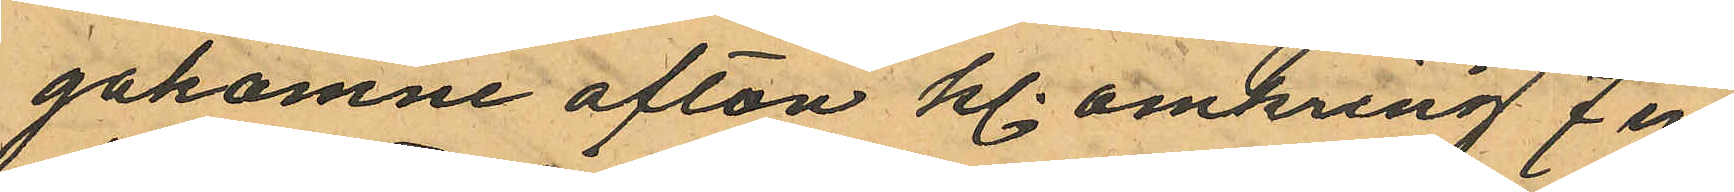gakomne afton kl. omkring 7 in
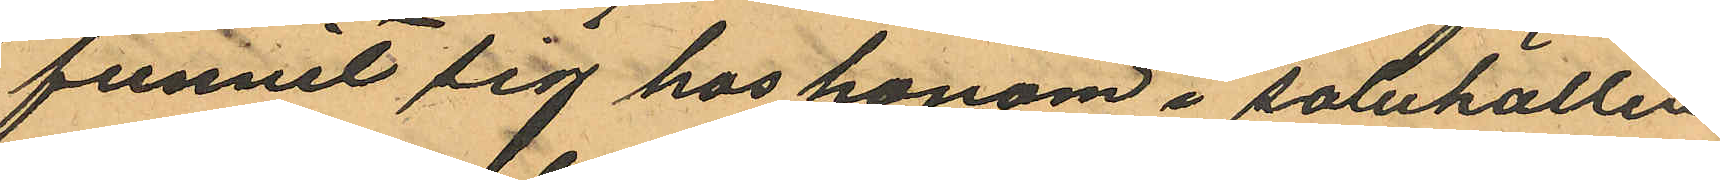funnit sig hos honom i saluhallen
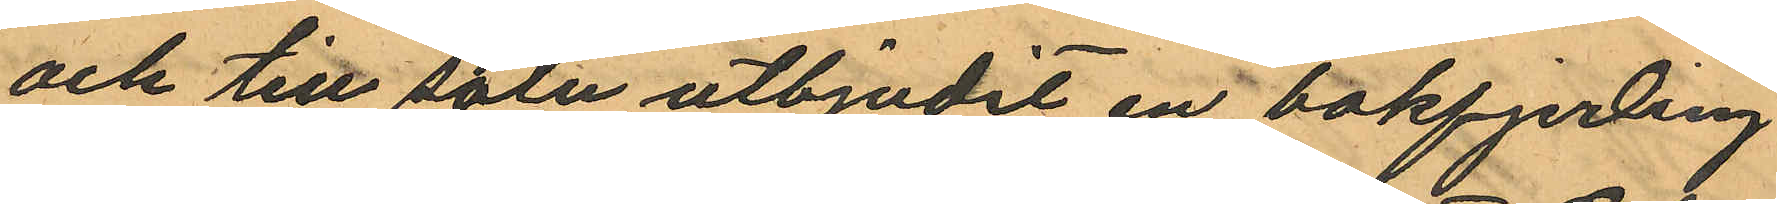och till salu utbjudit en bakfjerding
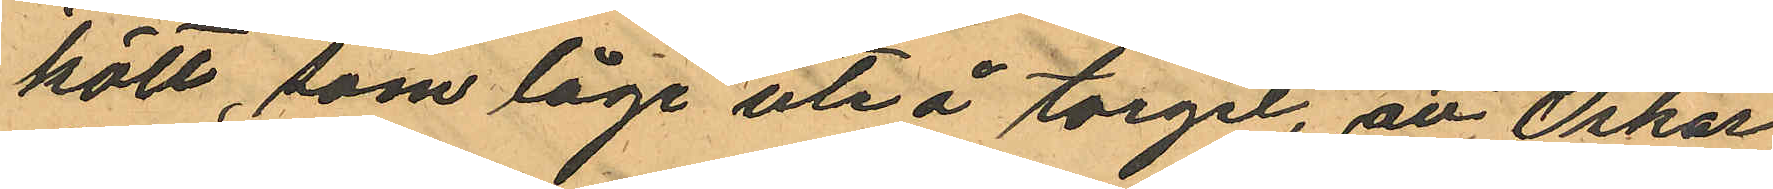kött, som låge ute å torget, att Oskar
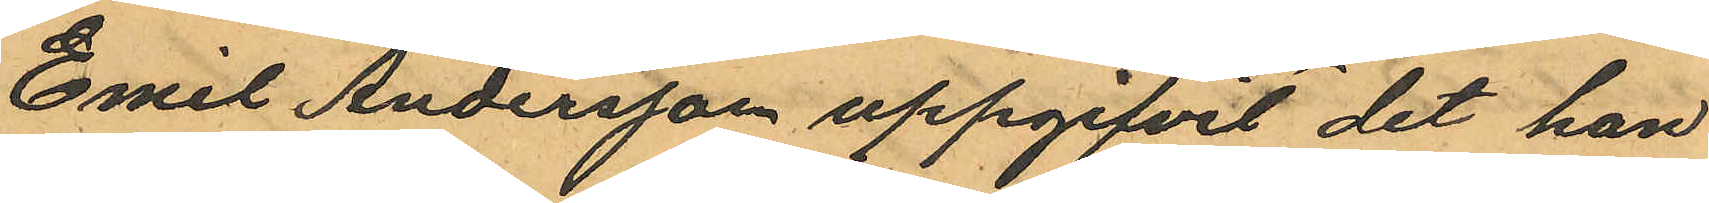Emil Andersson uppgifvit det han
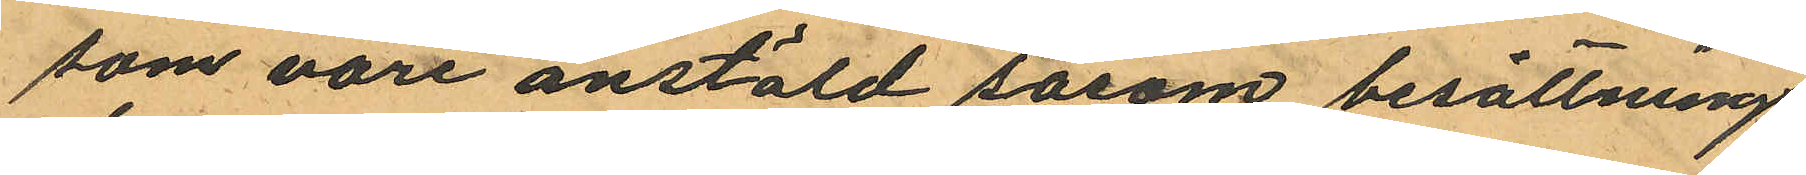som vore anstäld såsom besättnings¬
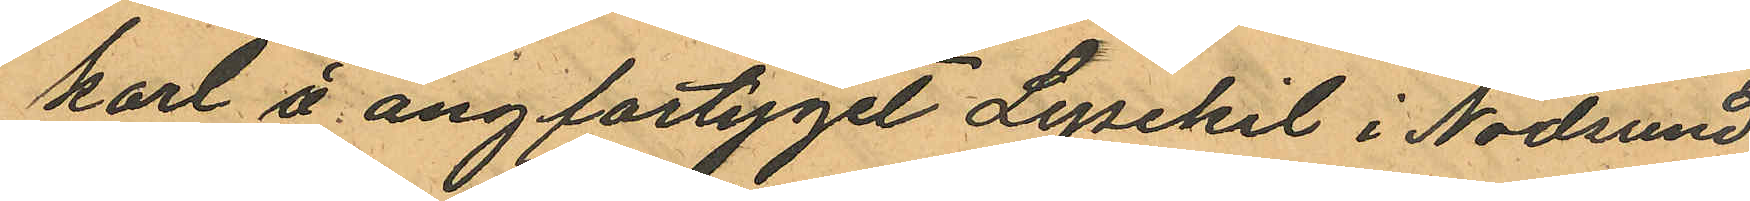karl å ångfartyget Lysekil i Nödsund
